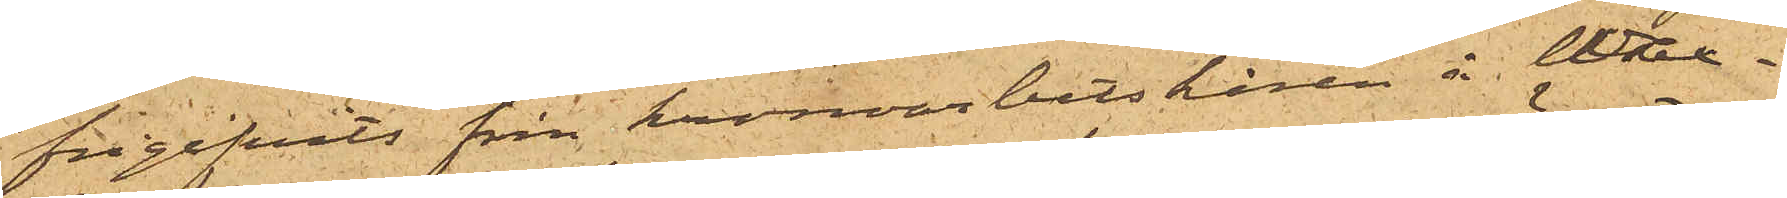frigifvits från kronoarbetskåren å Wax¬
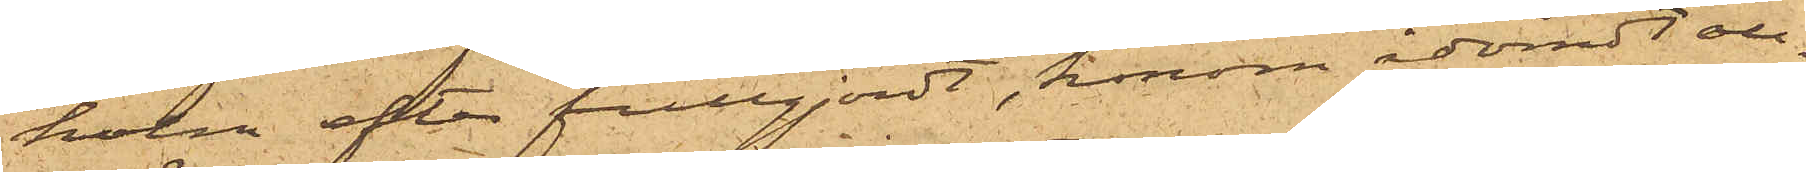holm efter fullgjordt, honom ådömdt all¬
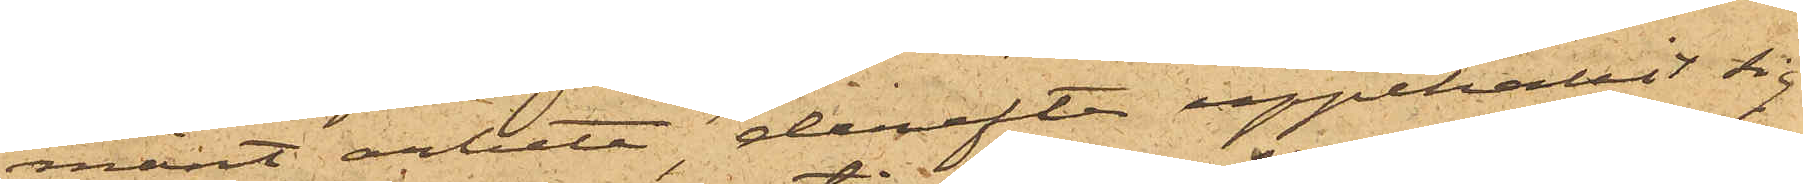mänt arbete, derefter uppehållit sig
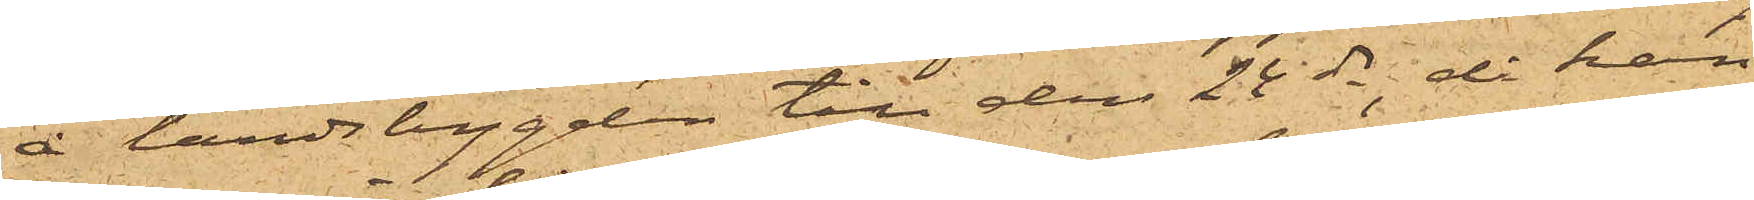å landsbygden till den 24 ds, då han
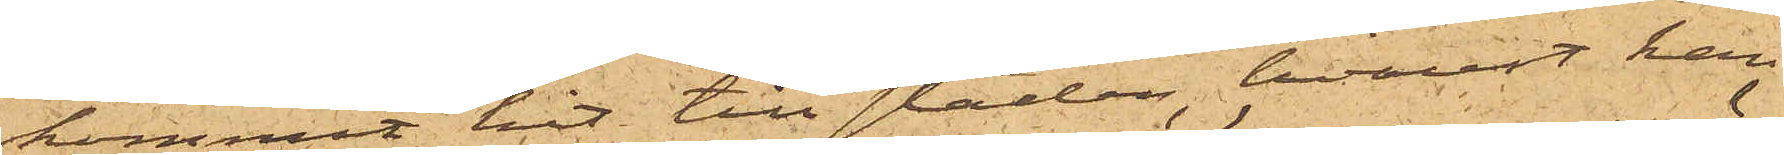kommit hit till staden, hvarest han
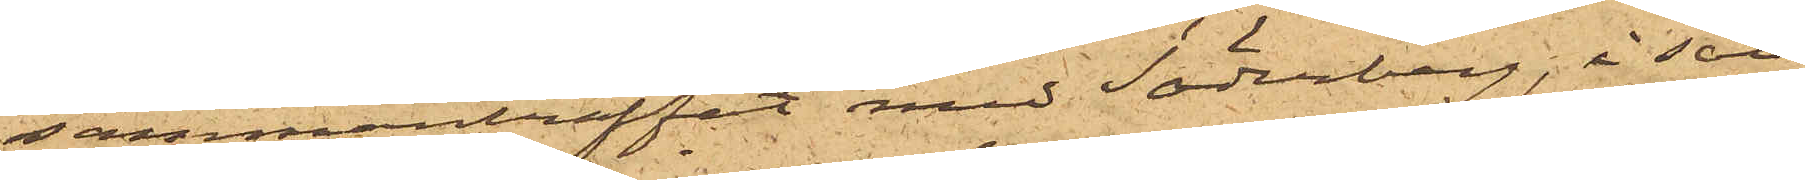sammanträffat med Söderberg, i säll¬
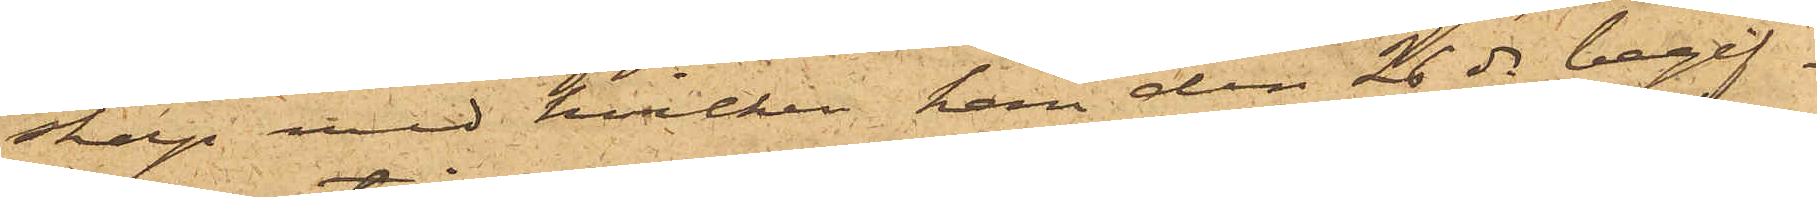skap med hvilken han den 26 ds begif¬
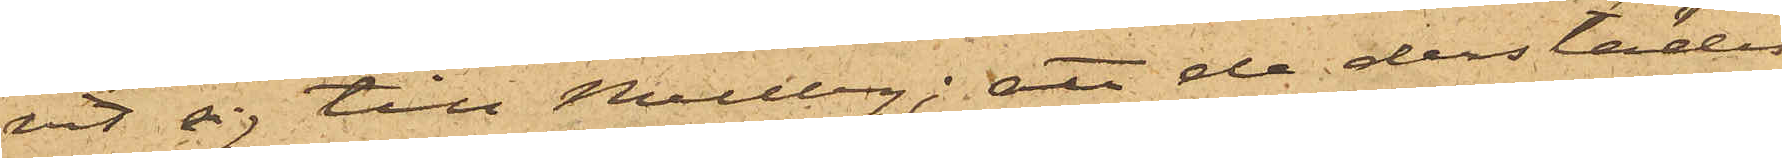vit sig till Mellby; att de derstädes
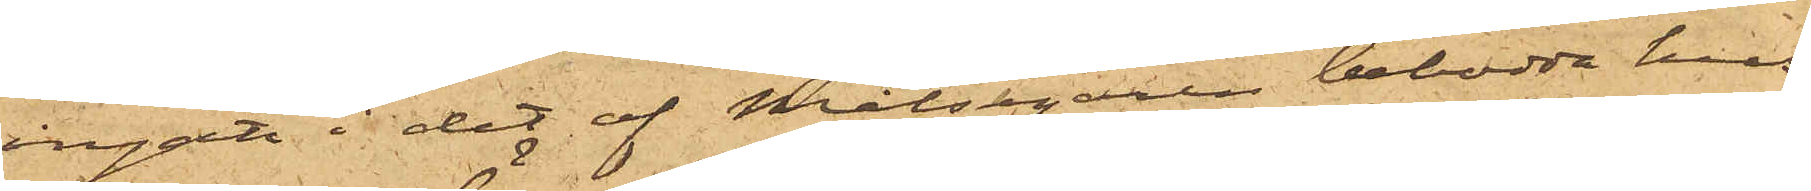ingått i det af Målsegaren bebodde hus,
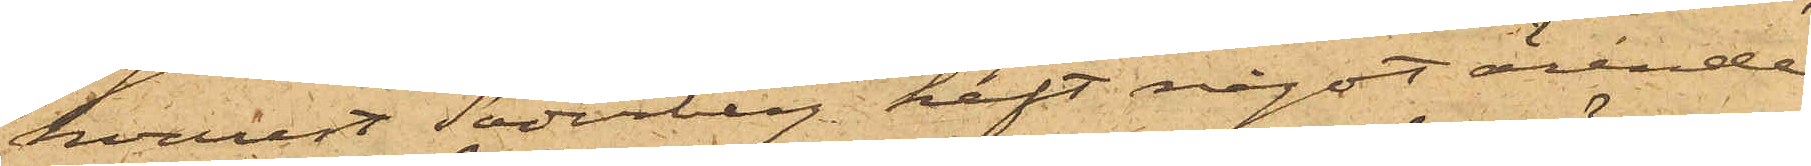hvarest Söderberg haft något ärende
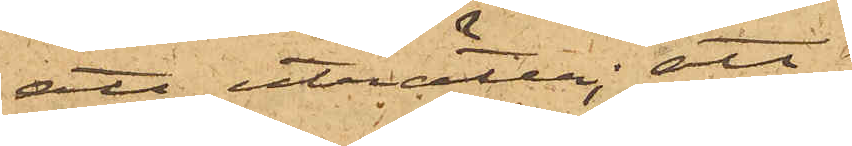att uträtta; att
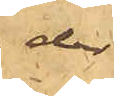der
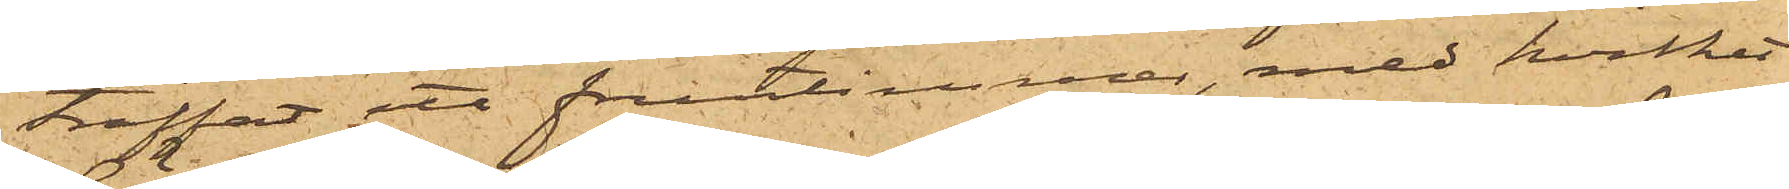träffat ett fruntimmer, med hvilket
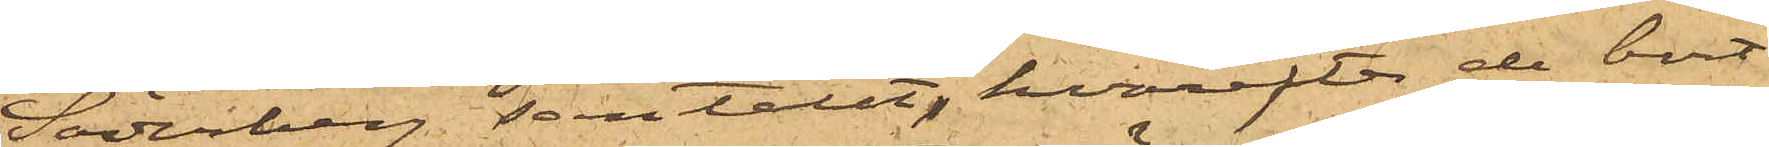Söderberg samtalat, hvarefter de bort¬
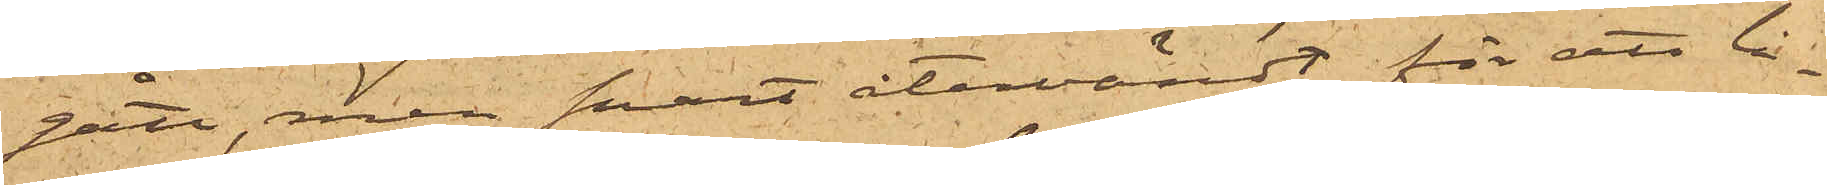gått, men snart återvändt för att lå¬
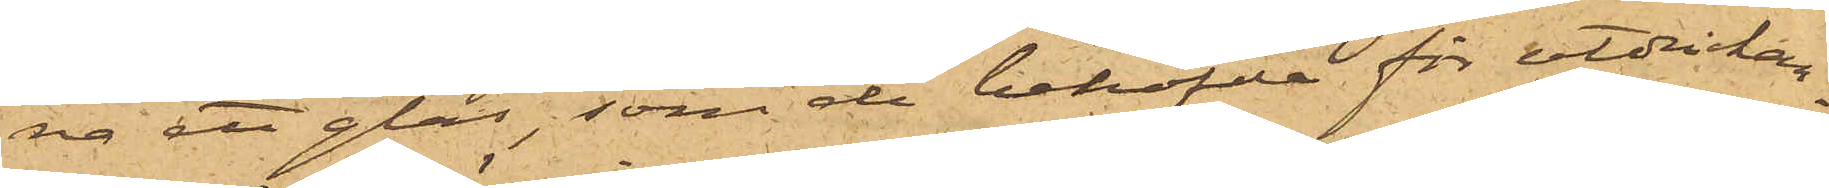na ett glas, som de behöfde för utdrickan¬
